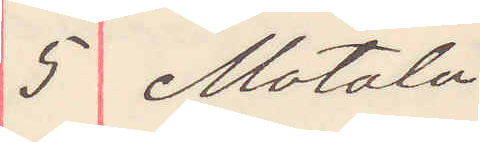5 Motala
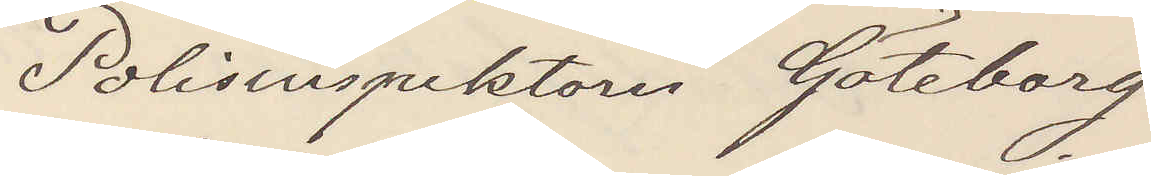Polisinspektorn Göteborg
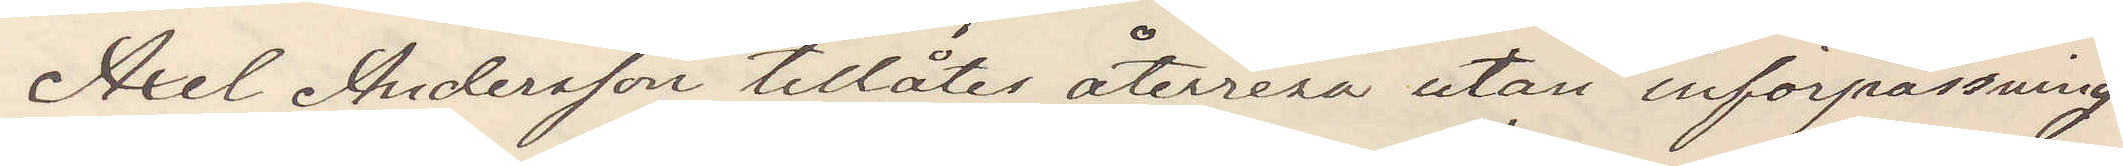Axel Andersson tillåtes återresa utan införpassning
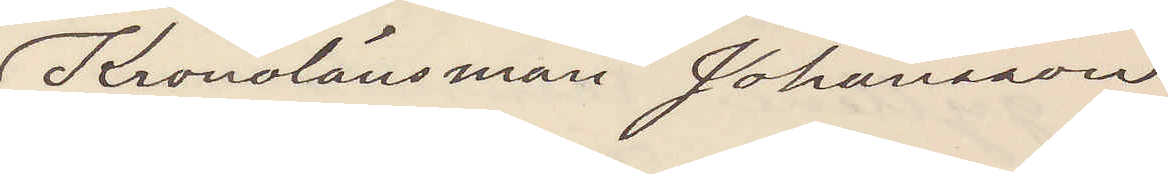Kronolänsman Johansson.
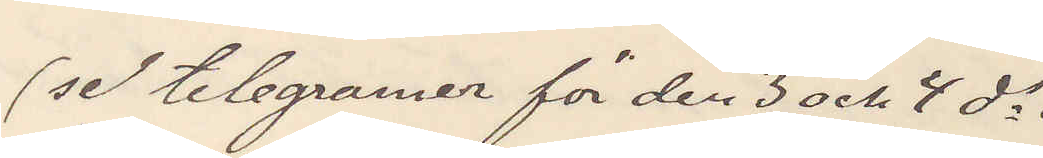(se telegramer för den 3 och 4 ds)
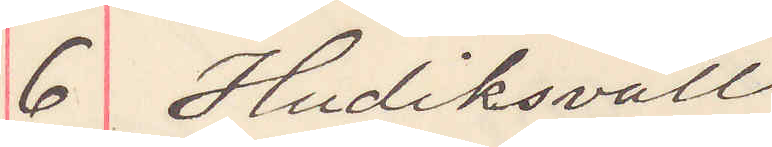6 Hudiksvall
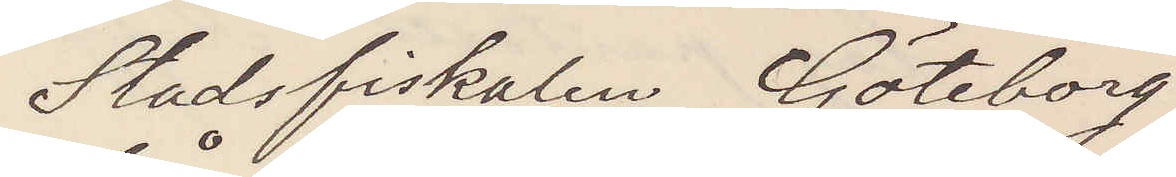Stadsfiskalen Göteborg
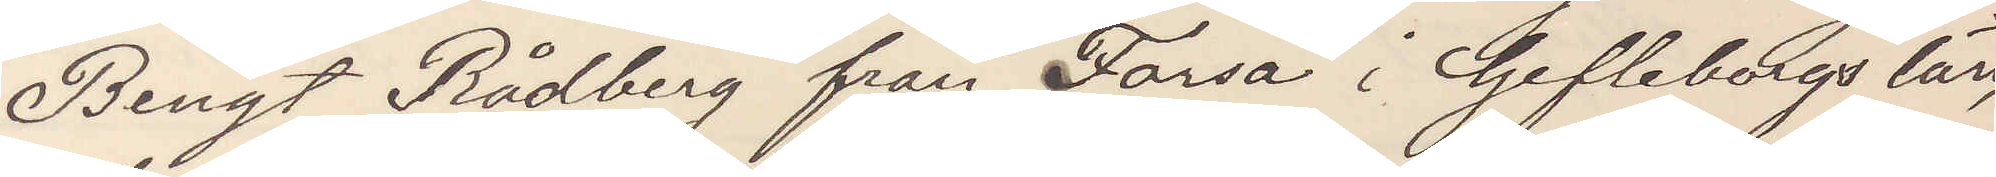Bengt Rådberg från Forsa i Gefleborgs län
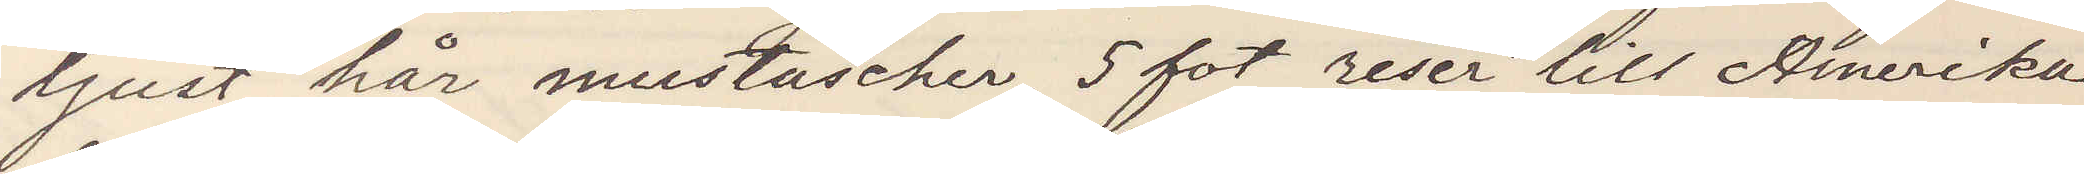ljust hår mustascher, 5 fot reser till Amerika
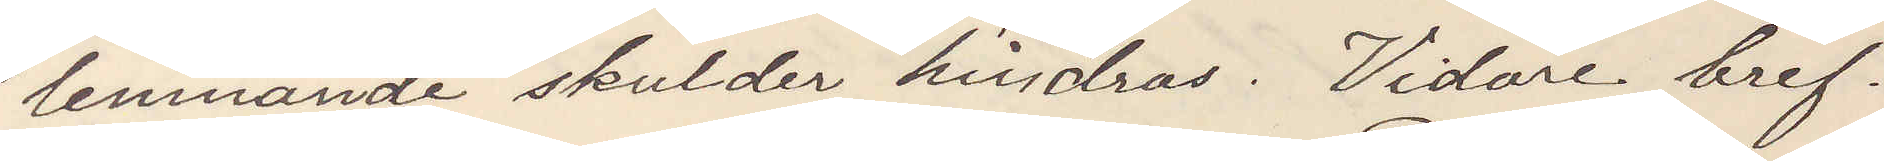lemnande skulder hindras. Vidare bref.
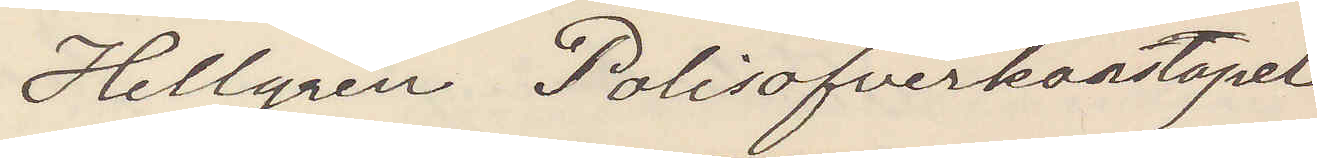Hellgren Polisöfverkonstapel
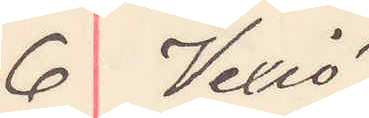6 Vexiö
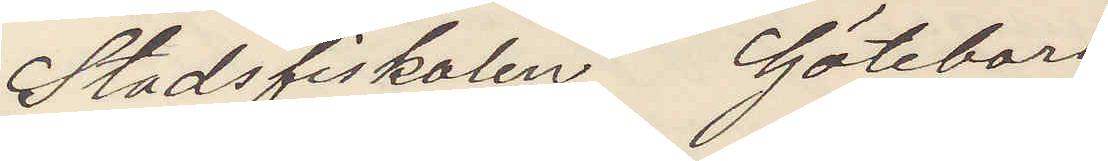Stadsfiskalen Göteborg
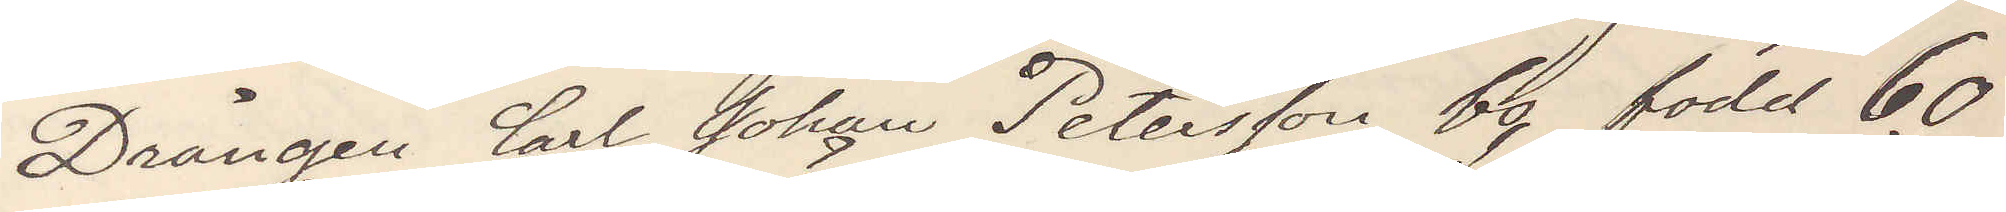Drängen Carl Johan Pettersson bo, född 60
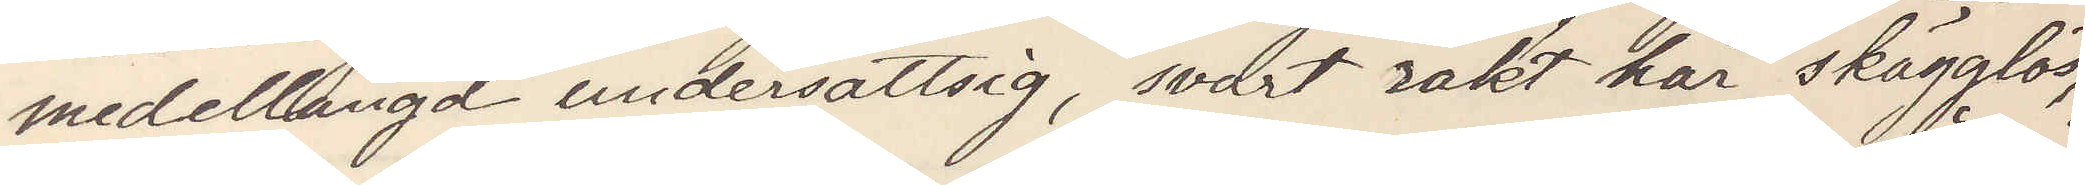meddellängd undersättsig, svart rakt hår skägglös,
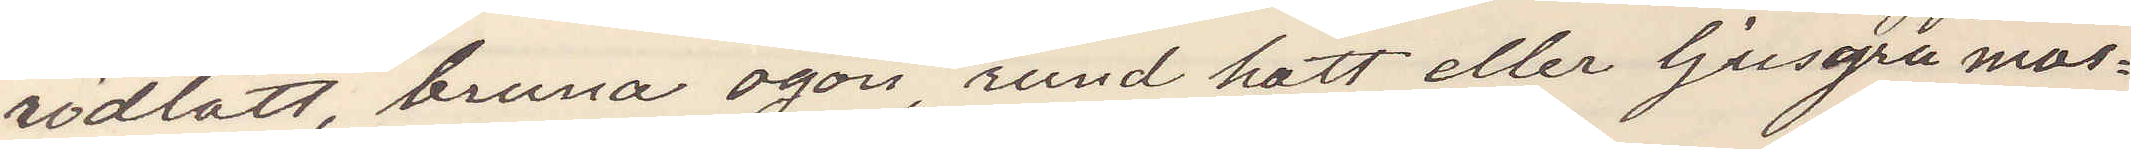rödlätt, bruna ögon, rund hatt eller ljusgrå mös¬
